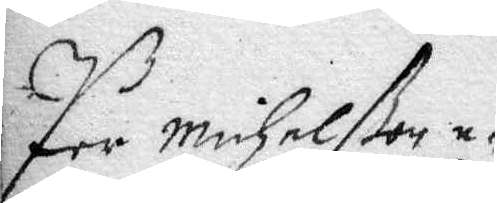Per Michelßon e¬
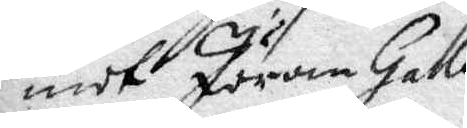modt Jöran Halle
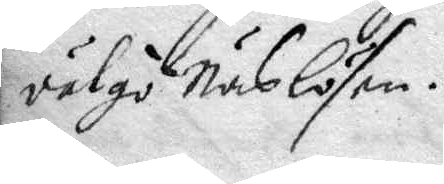vätgö Näslösen.
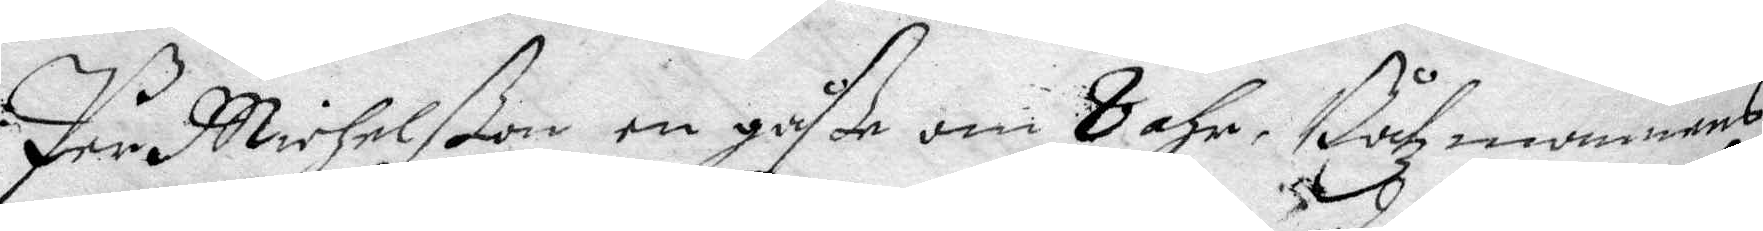Per Michelßon en gåße om 8 åhr, Båtzmannens
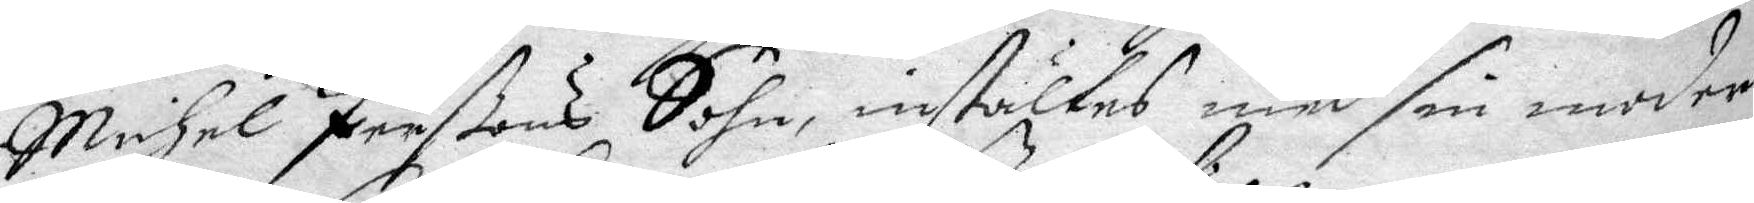Michel Perßons Sohn, instältes med sin moder
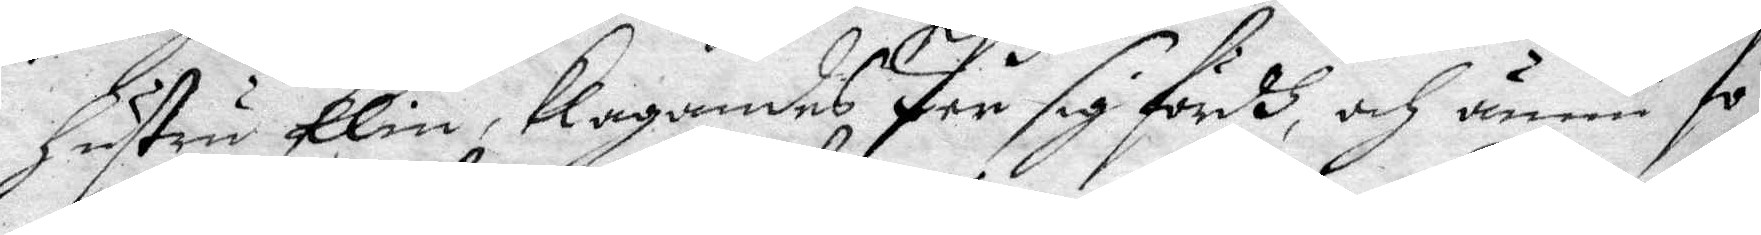hustru Elin, klagandes Per sig fördh, och ännu fö¬
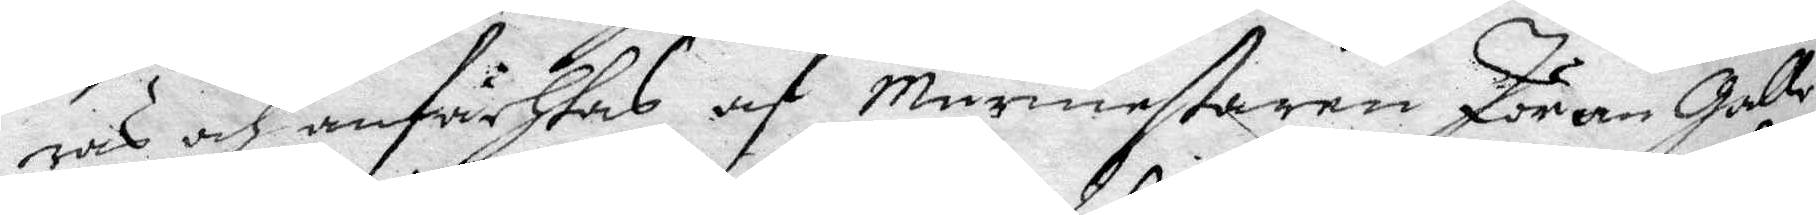ras och anfächtas af Murmestaren Jöran Galle
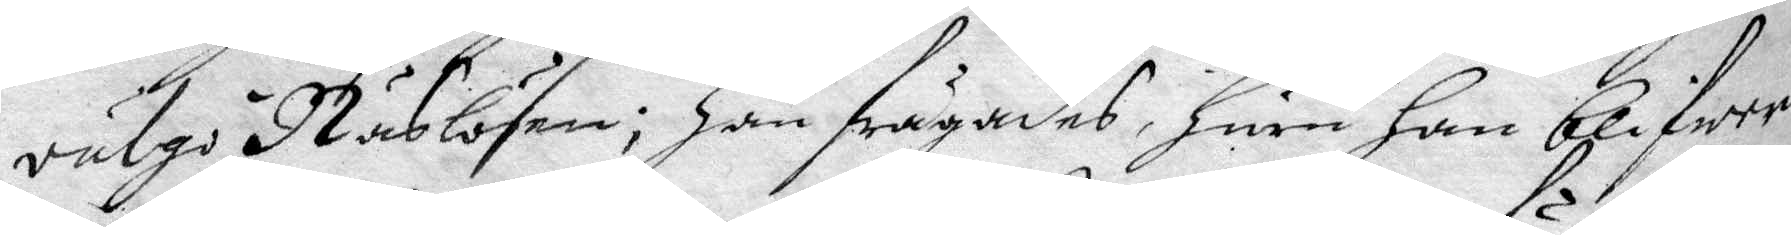vulgo i Näslösen, han frågades, huru han blifwer
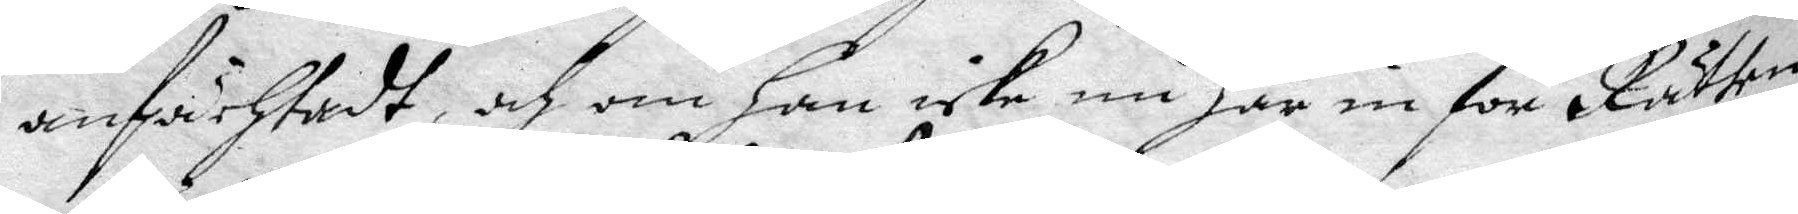anfächtadt, och om Han icke nu här in för Rätten
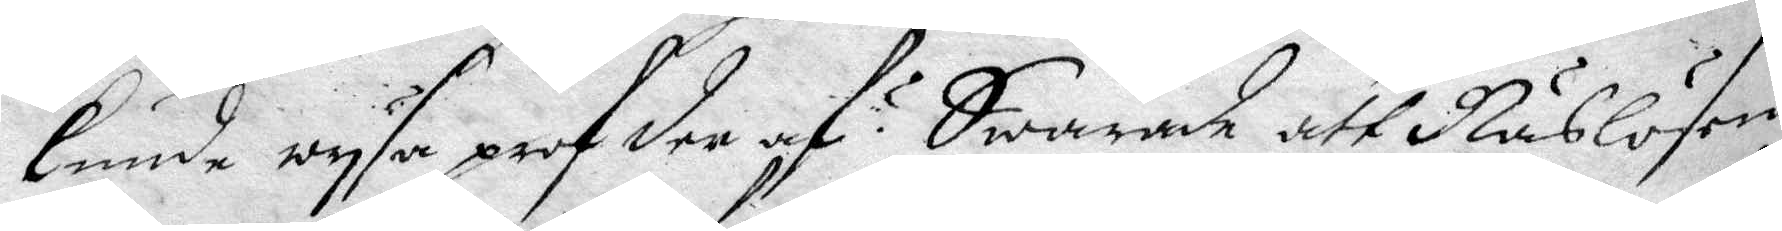kunde wysa prof der af ? Swarade att Näslösen
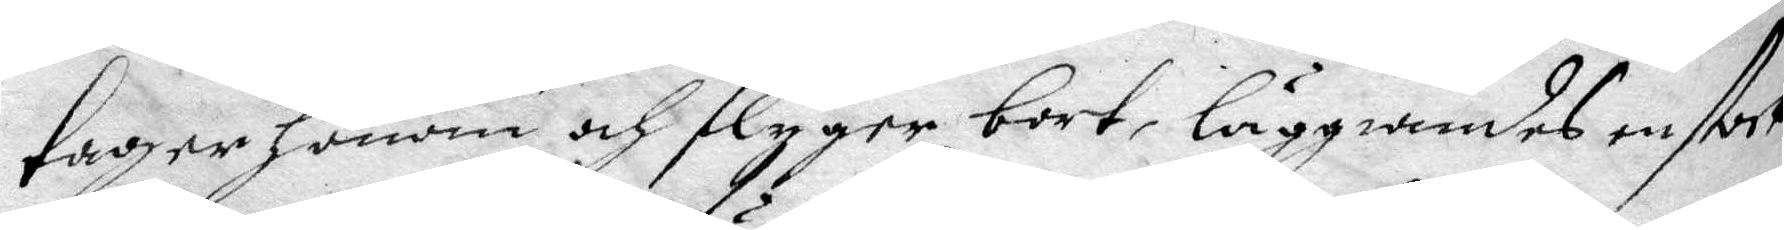tager honom och flyger bort, läggiandes en stock
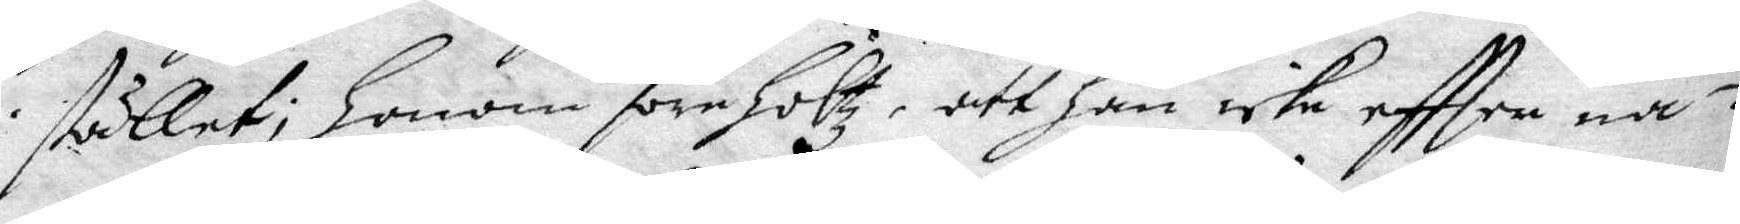stället; Honom förehöltz, att Han icke eftter nå¬
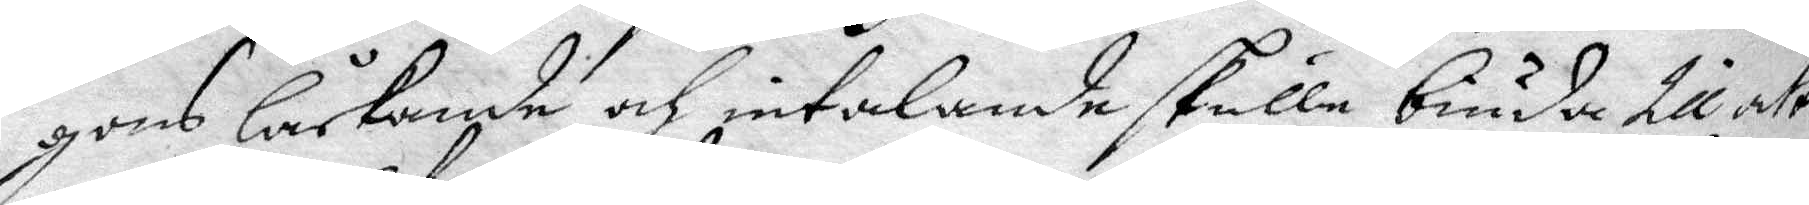gons låckande och intalande skulle biuda till att
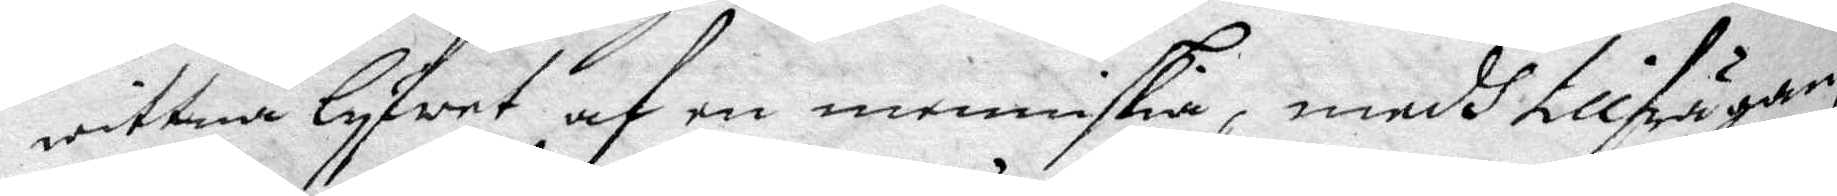wittna lyfwet af en menniskia, medh tillfrågan
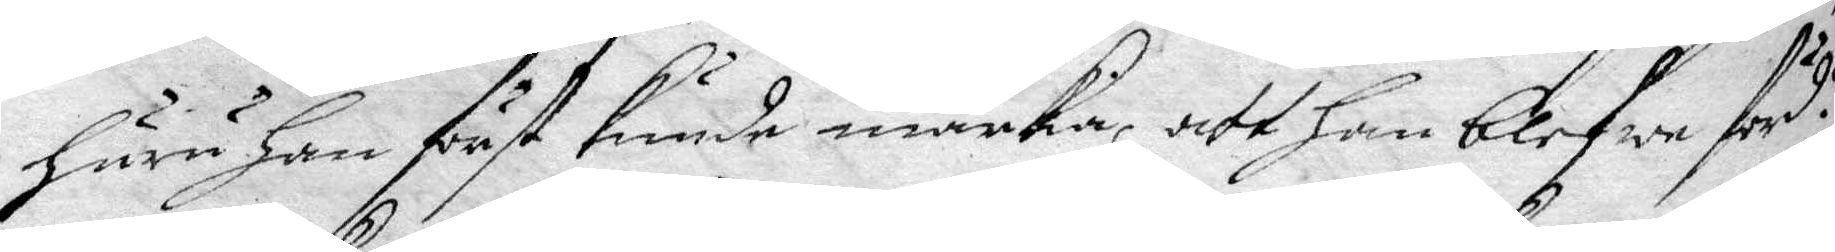huru han först kunde märka, att han blefwe förd?
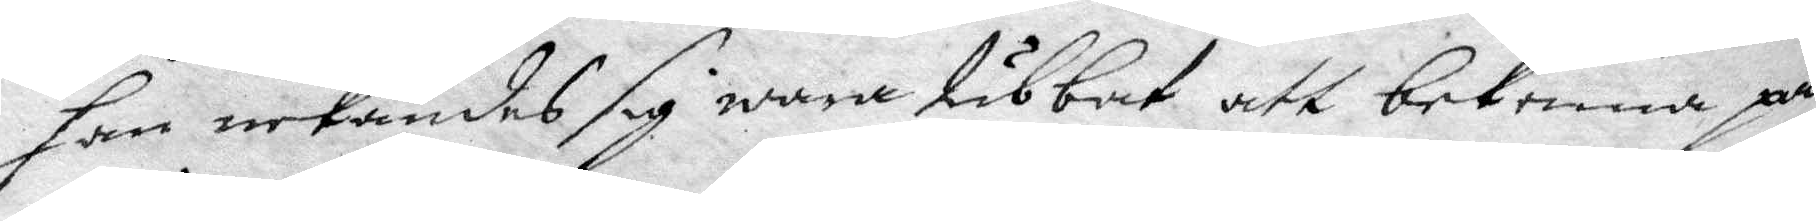han nekandes sig wara tubbat att bekenna på
